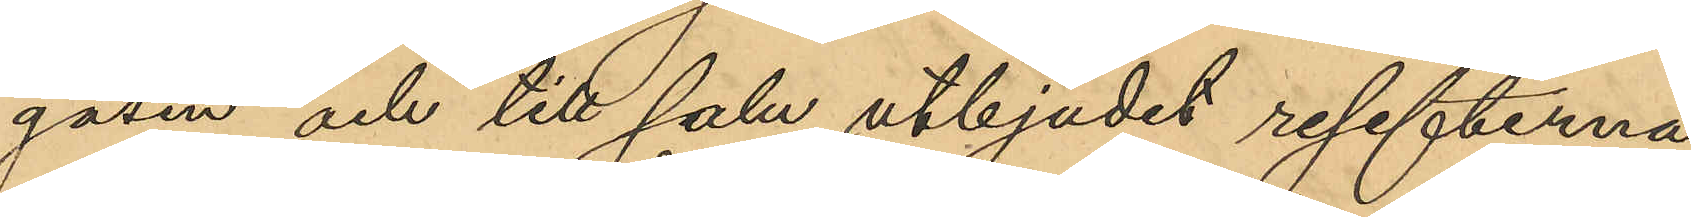gasin och till salu utbjudit resefterna,
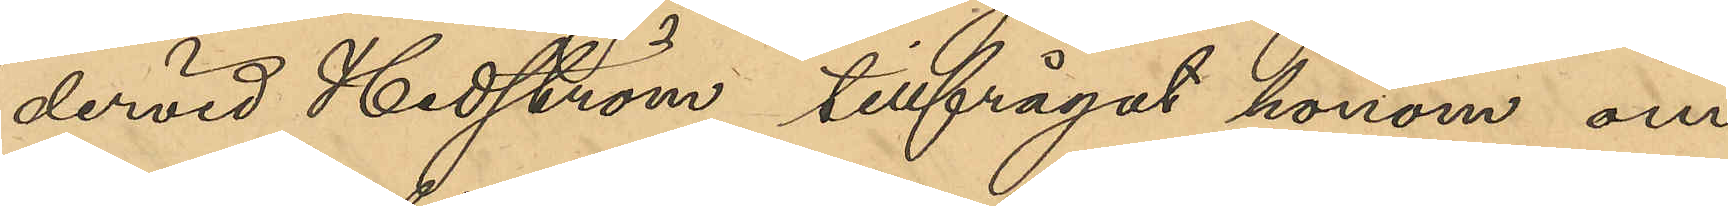dervid Hedström tillfrågat honom om
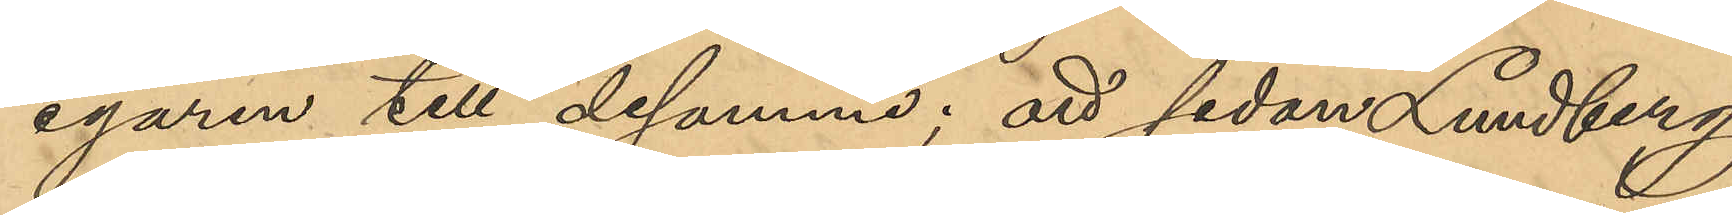egaren till desamma; att sedan Lundberg
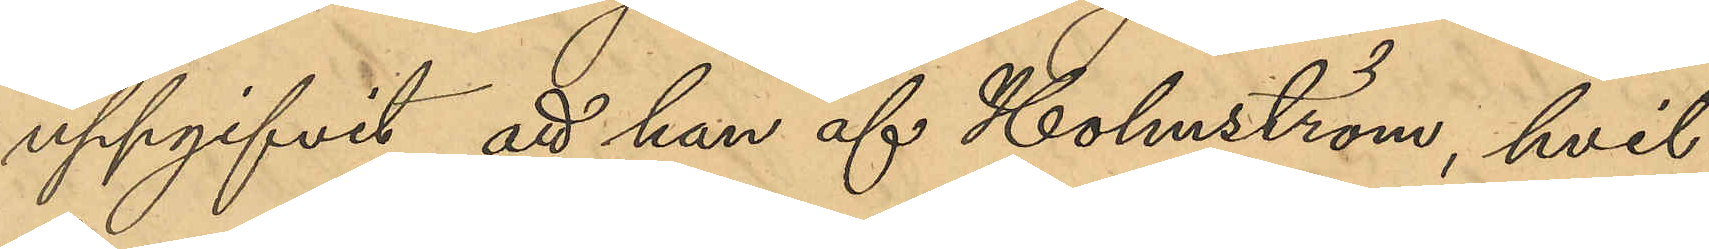uppgifvit att han af Holmström, hvil¬
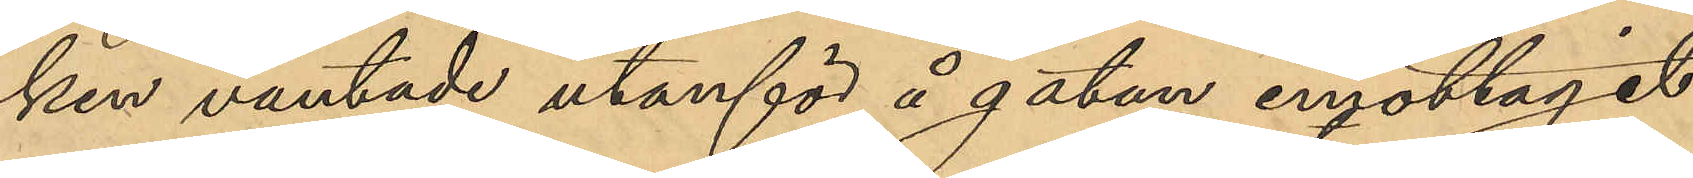ken väntade utanför å gatan emottagit
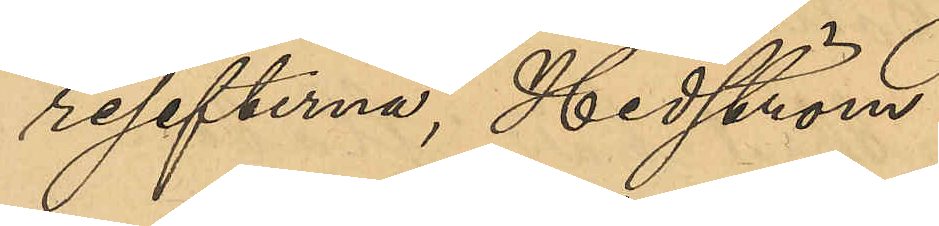resefterna, Hedström
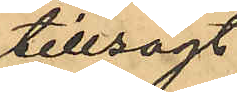tillsagt
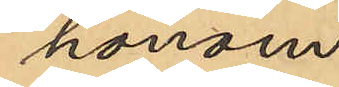honom
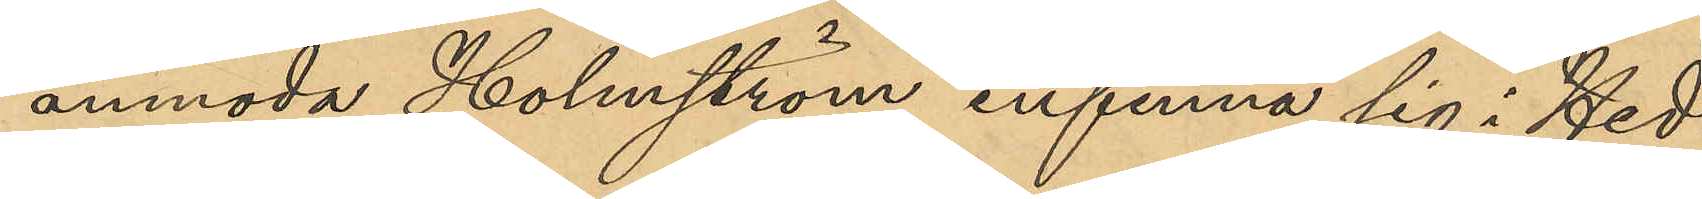anmoda Holmström infinna sig i Hed¬
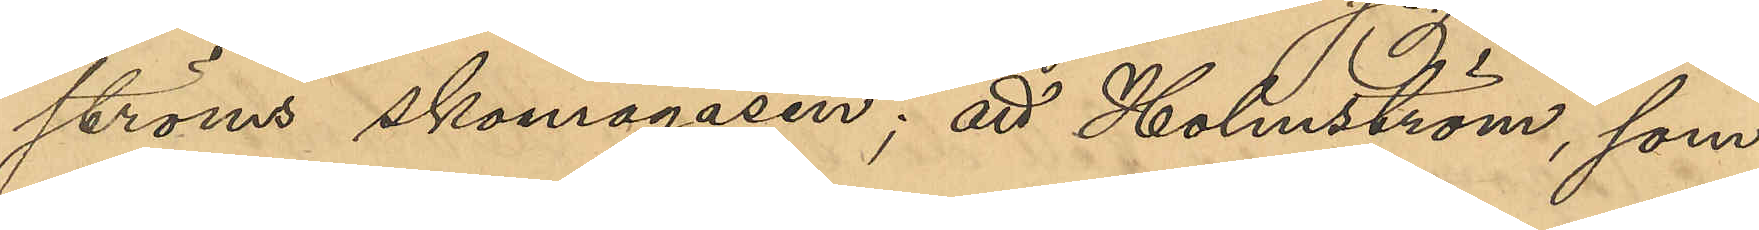ströms skomagasin; att Holmström, som
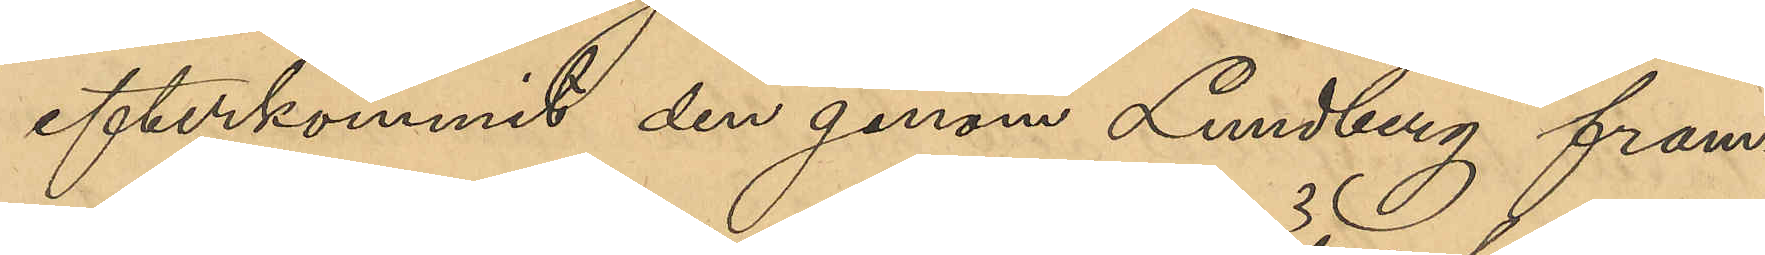efterkommit den genom Lundberg fram¬
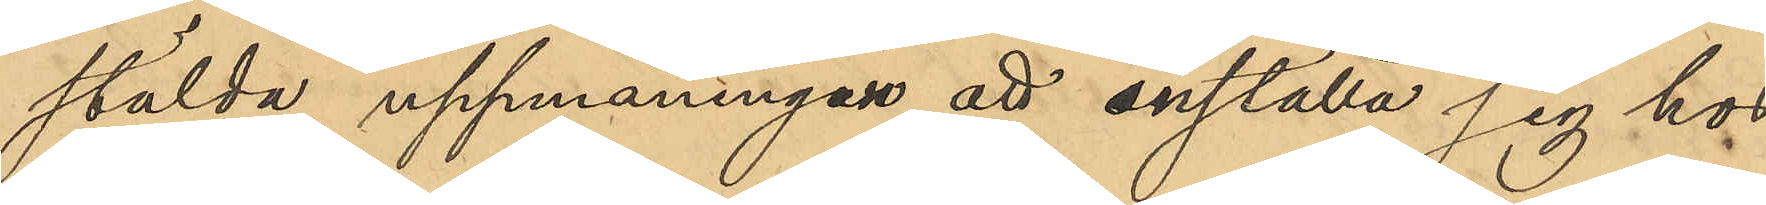stälda uppmaningen att inställa sig hos
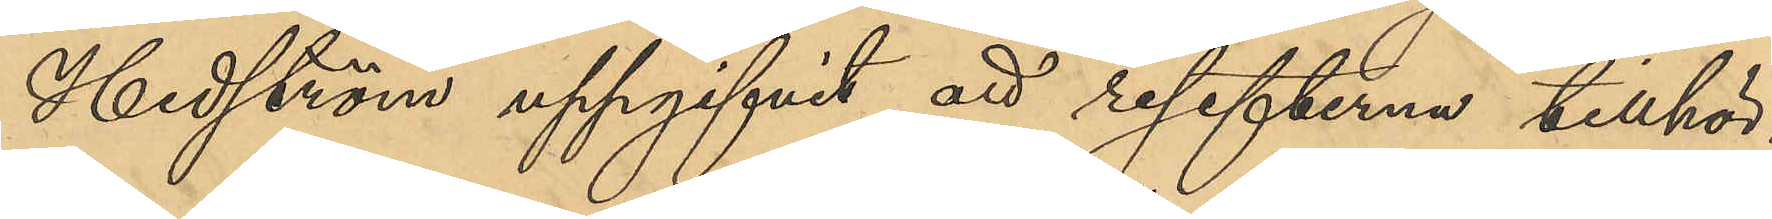Hedström uppgifvit att resefterna tillhör¬
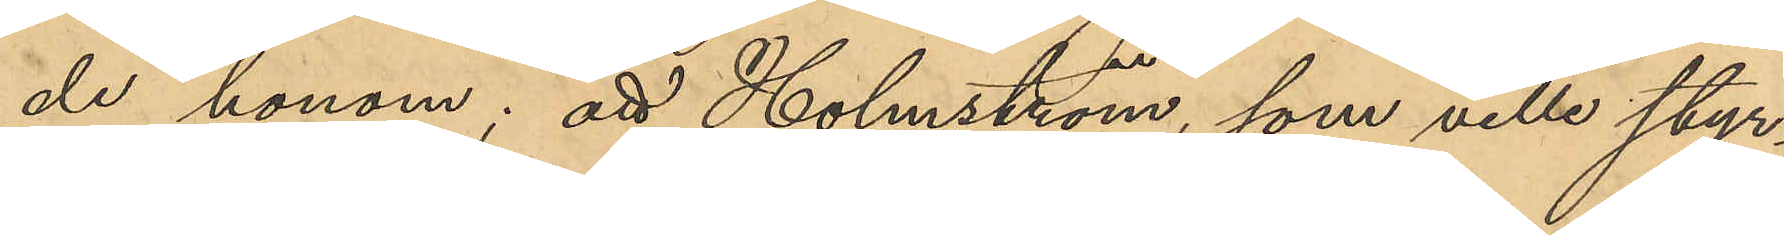de honom; att Holmström, som ville styr¬
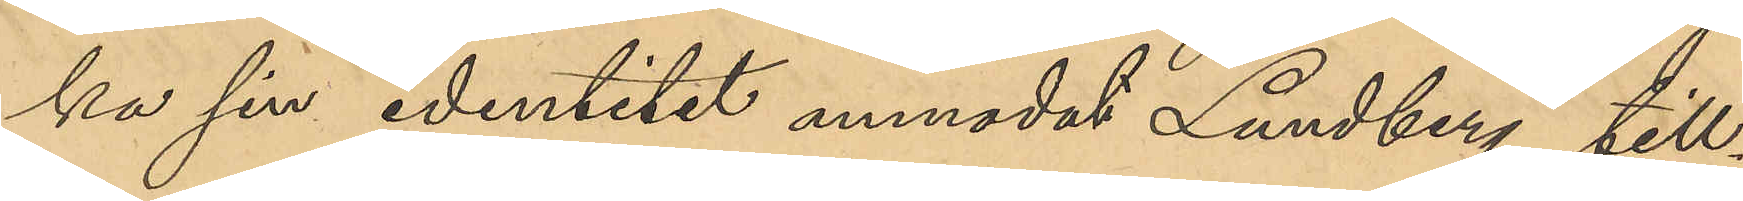ka sin identitet anmodat Lundberg till¬
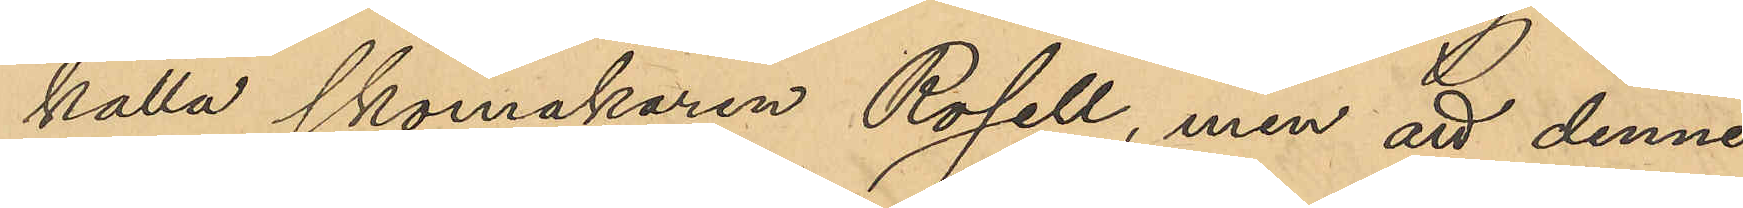kalla skomakaren Rosell, men att denne
